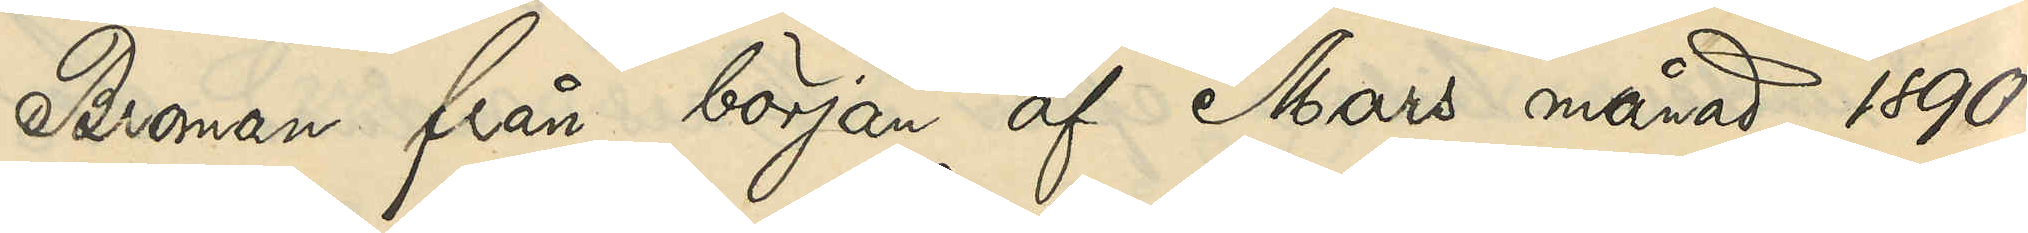Broman från början af Mars månad 1890
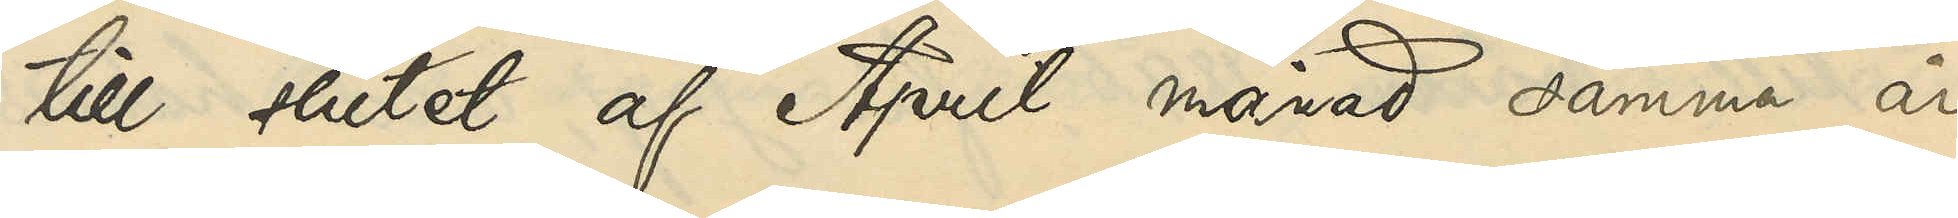till slutet af April månad samma år
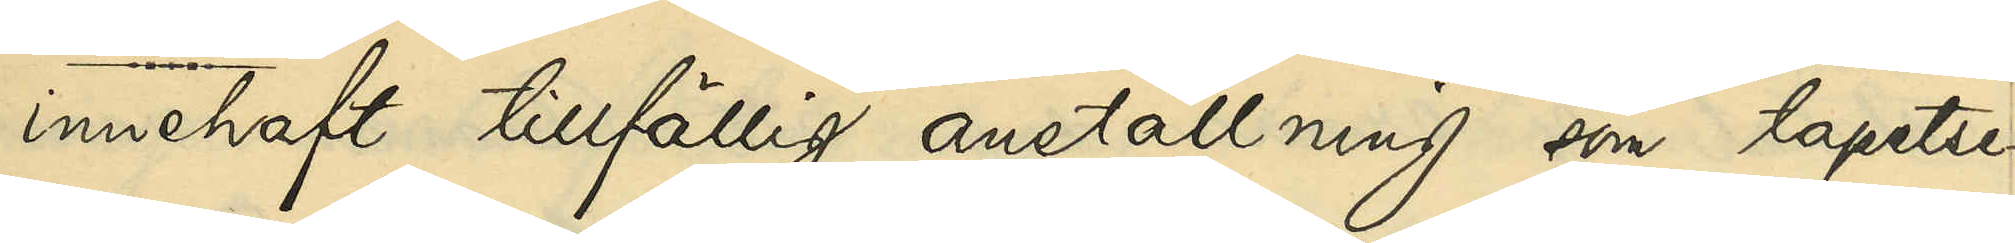innehaft tillfällig anställning som tapetse¬
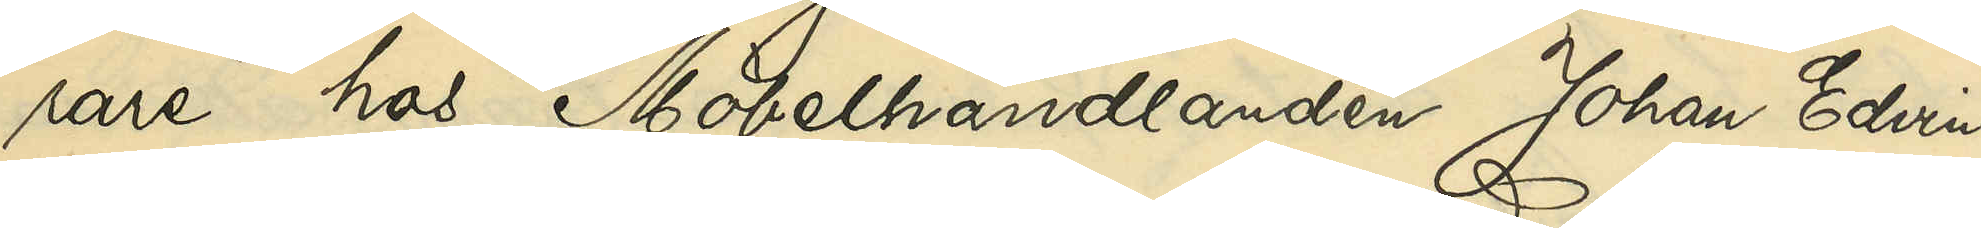rare hos Möbelhandlanden Johan Edvin
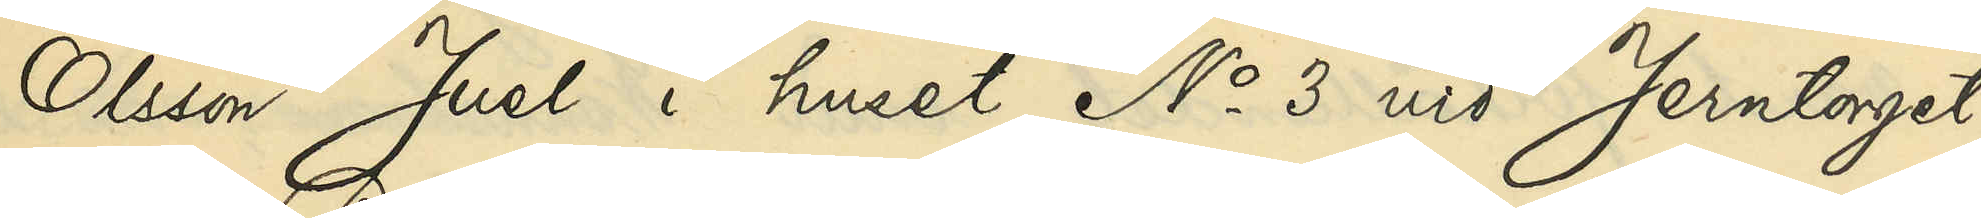Olsson Juel i huset No 3 vif Jerntorget;
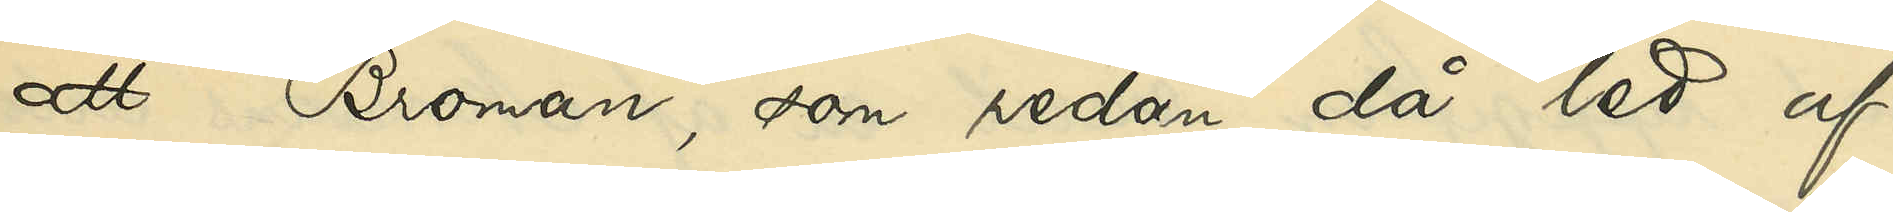att Broman, som redan då led af
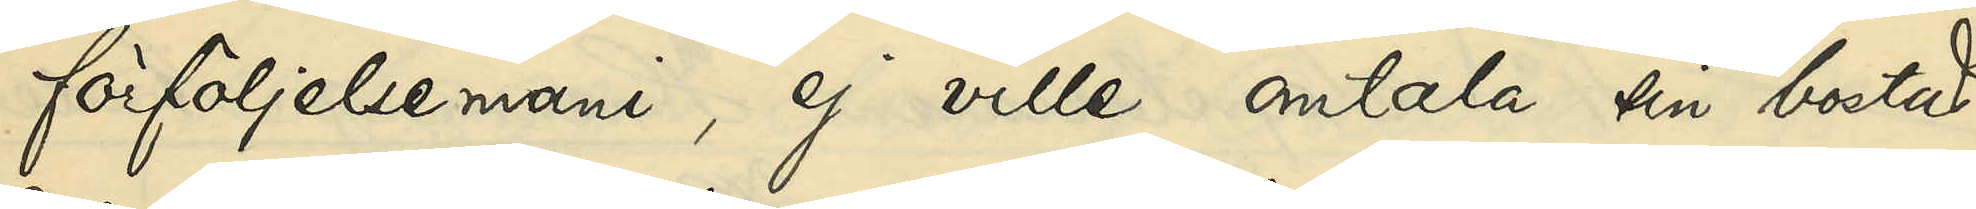förföljelsemani, ej ville omtala sin bostad,
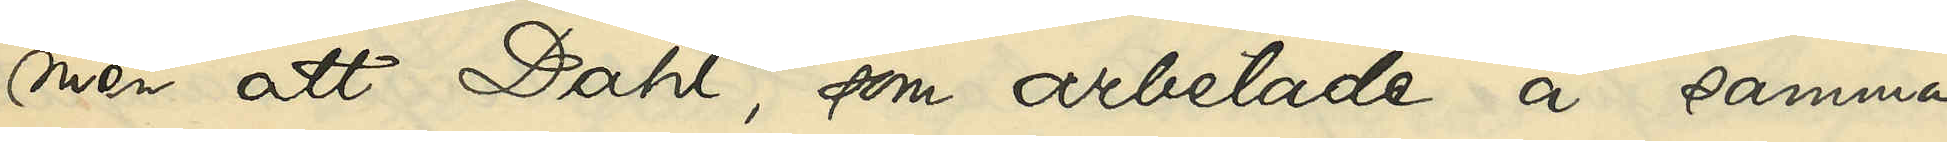men att Dahl, som arbetade å samma
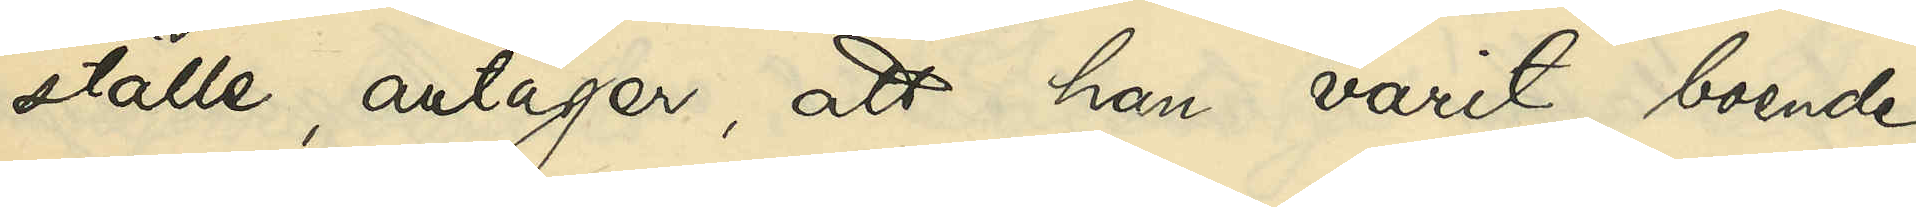ställe, antager, att han varit boende
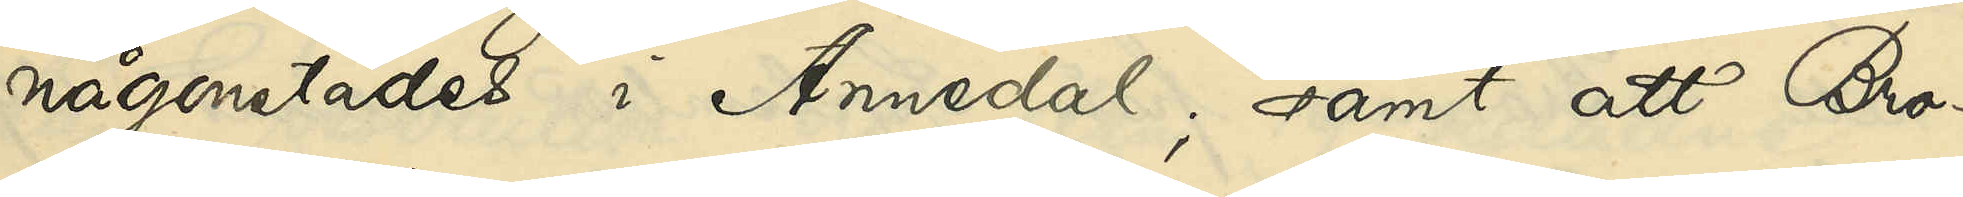någonstädes i Annedal; samt att Bro¬
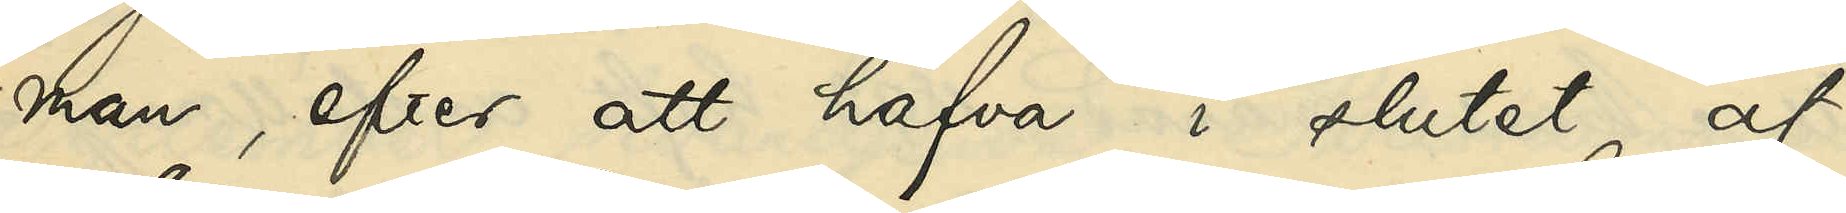man, efter att hafva i slutet af
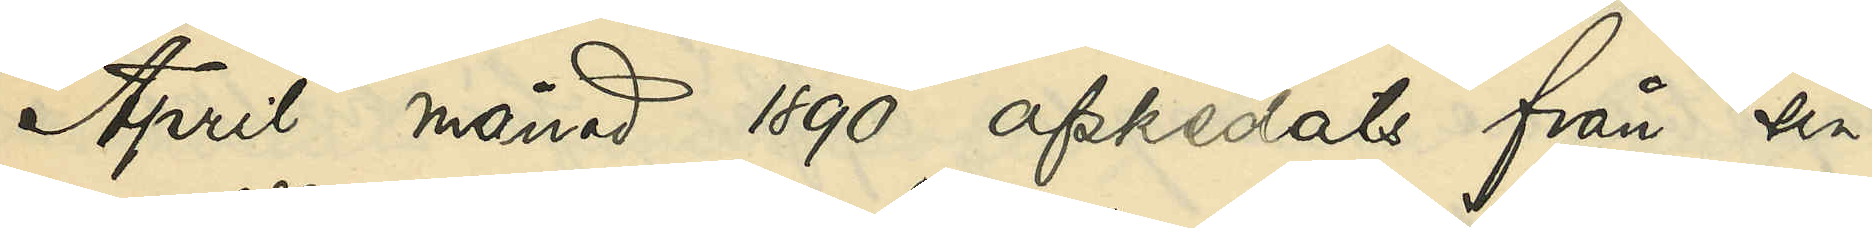April månad 1890 afskedats från sin
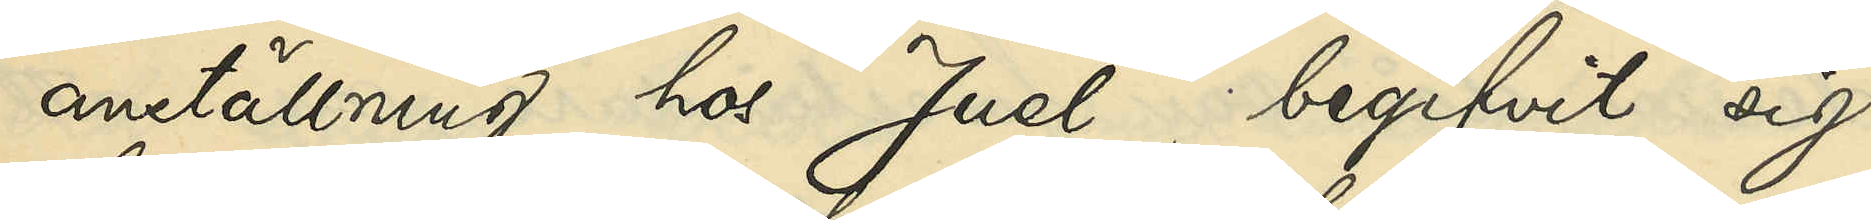anställning hos Juel, begifvit sig
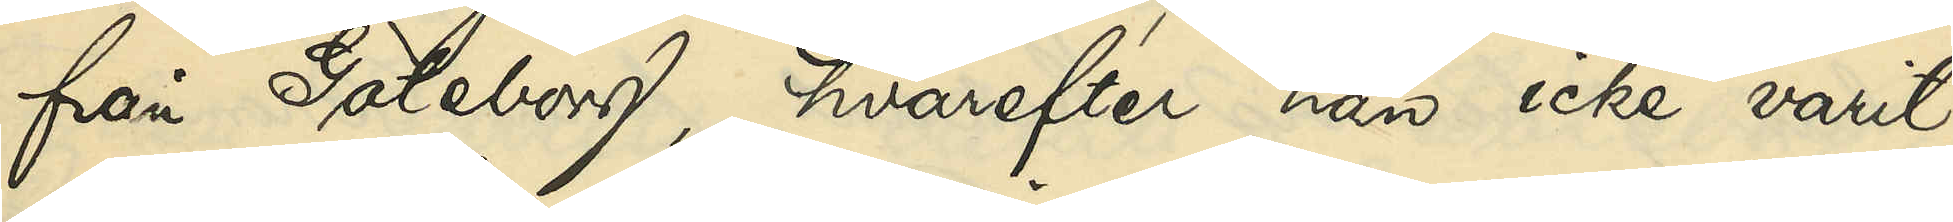från Göteborg, hvarefter han icke varit
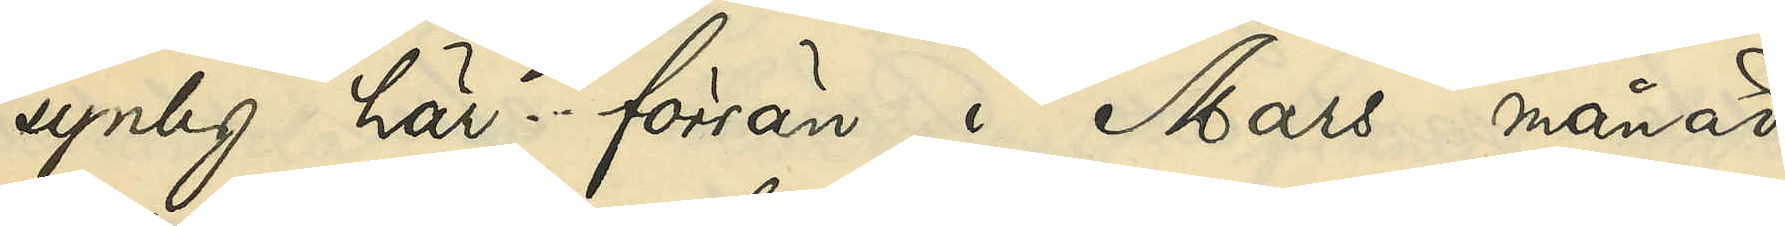synlig här förrän i Mars månad
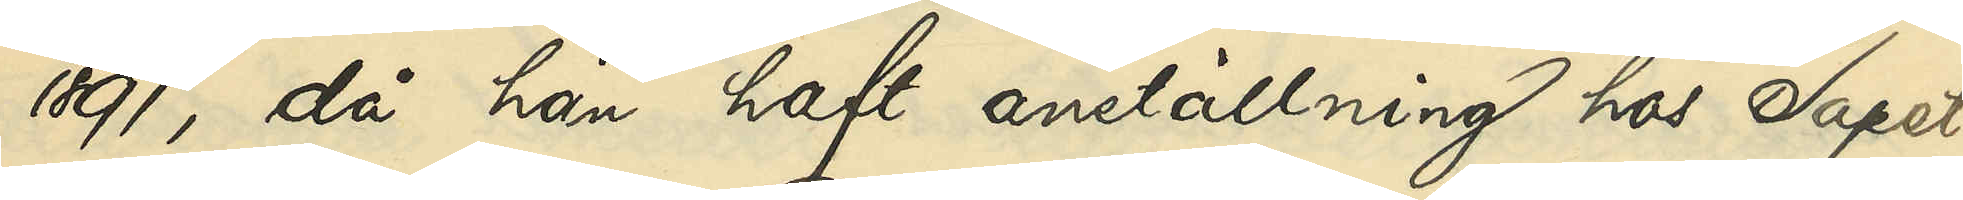1891, då han haft anställning hos Tapet¬
